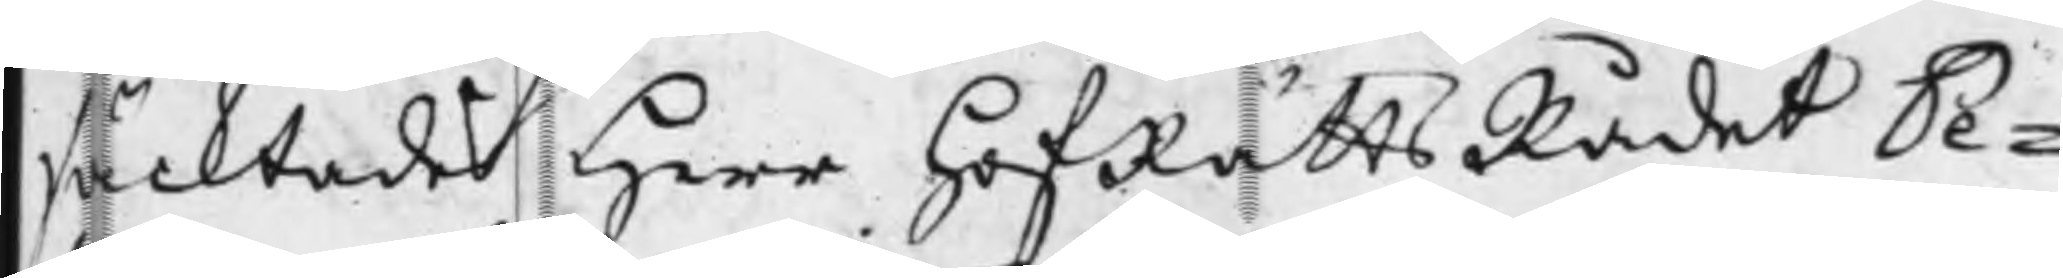säcktades Herr HofRättsRådet Pe¬
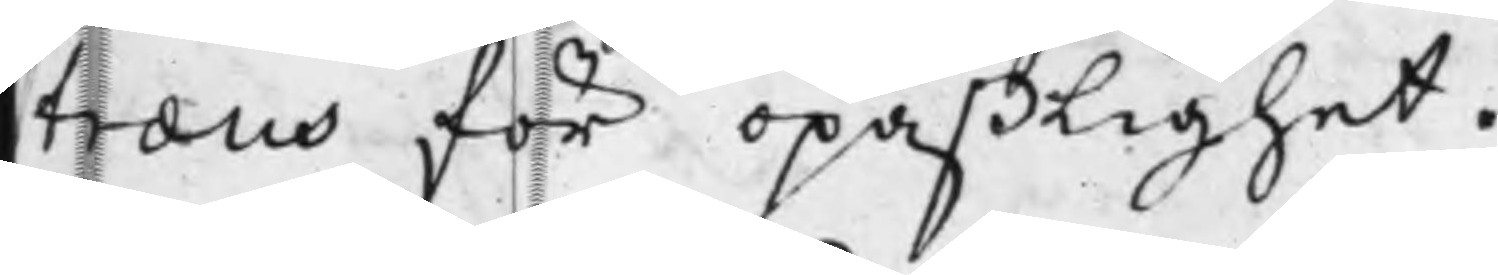træus för opaßlighet.
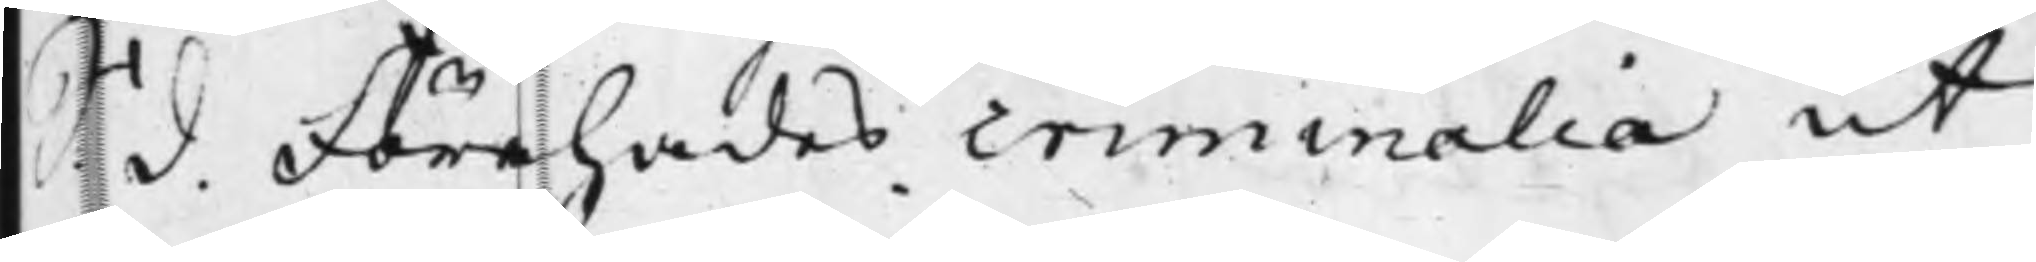S. d Förehades criminalia ut
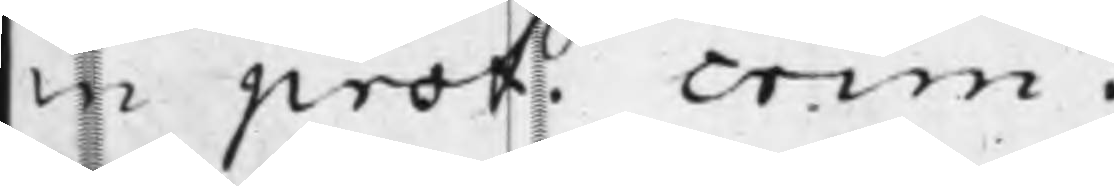in prot. crim.
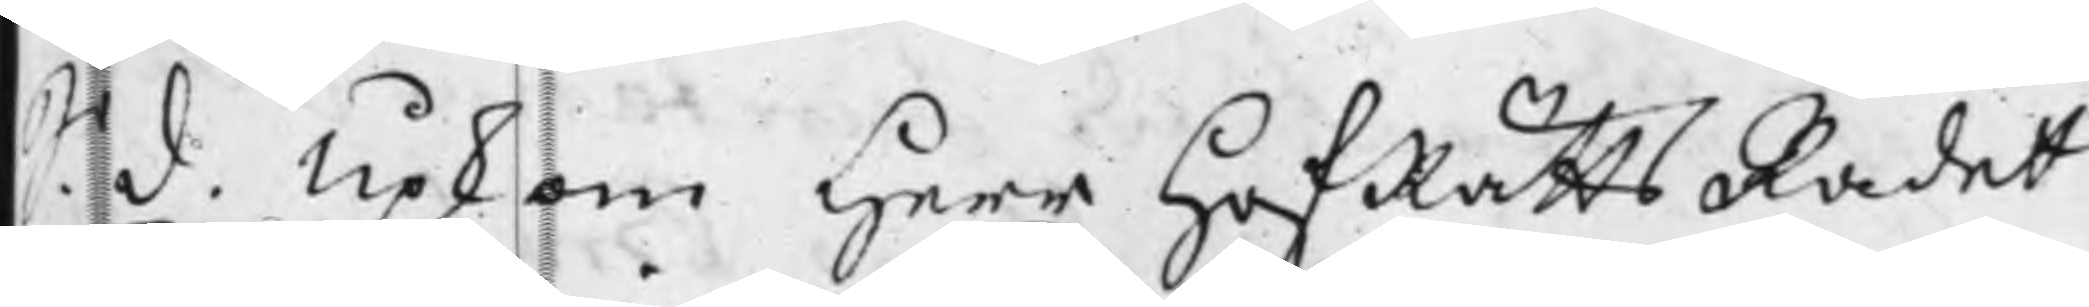S. d. Upkom Herr HofRättsRådet
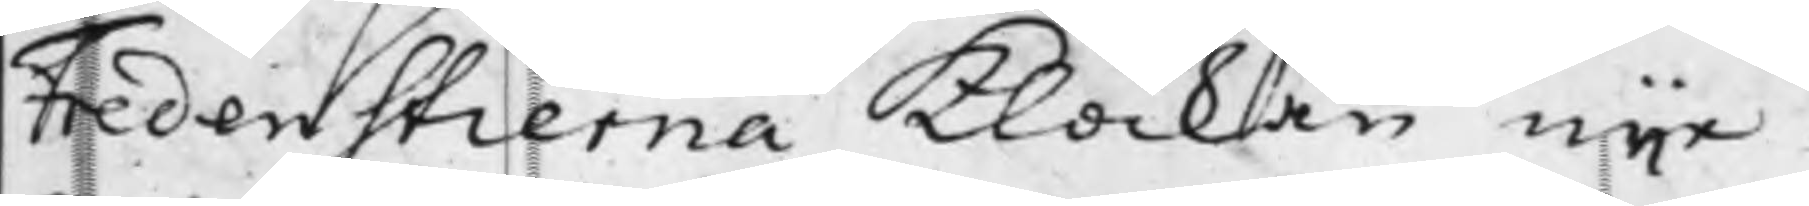Fredenstierna klockan nije.
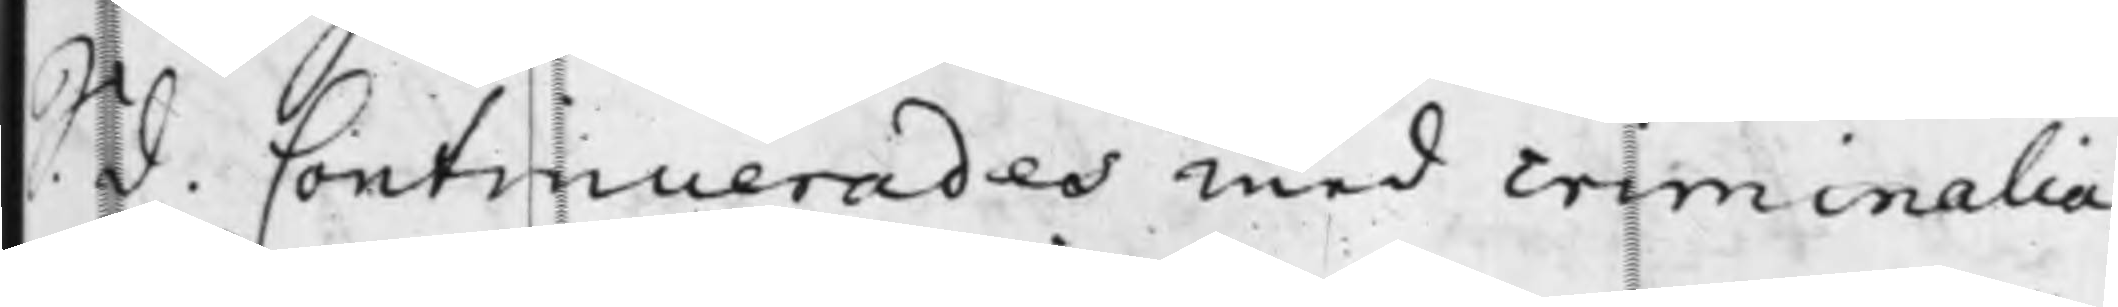S. d. Continuerades med criminalia
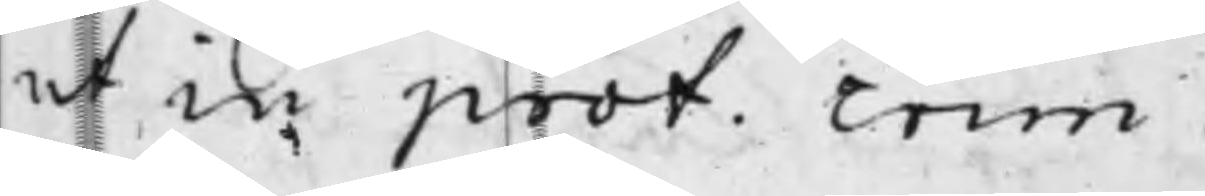ut in prot. crim.
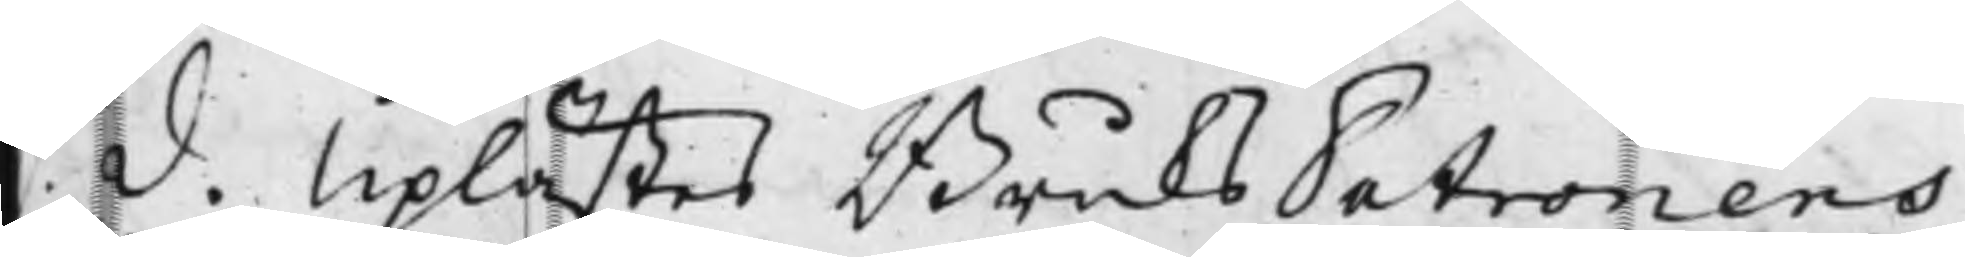S. d. Uplästes BruksPatronens
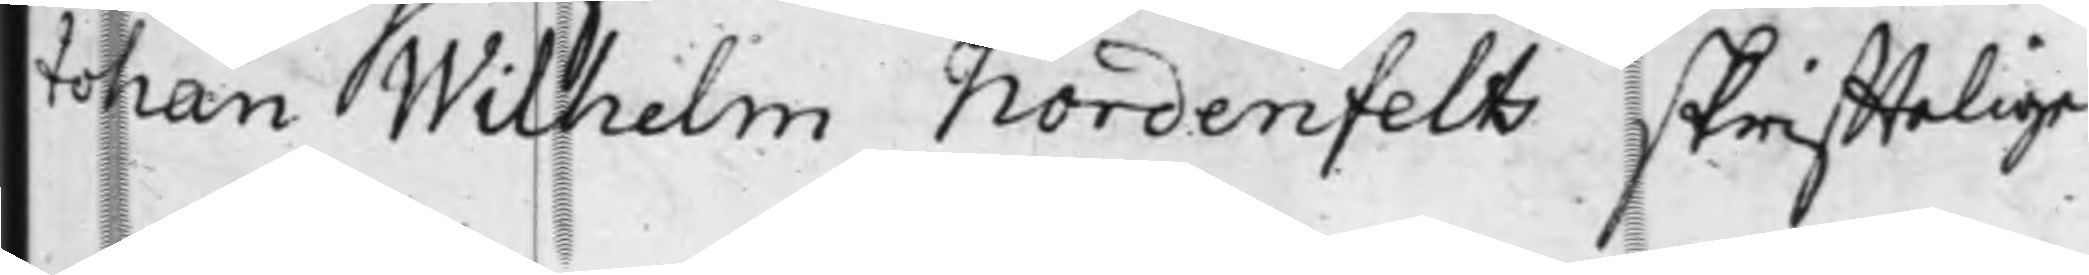Johan Wilhelm Nordenfelts skrifftelige
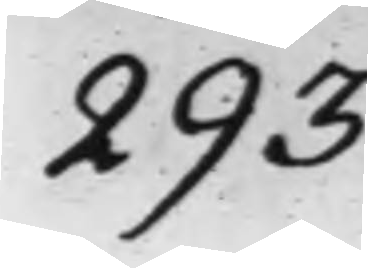293
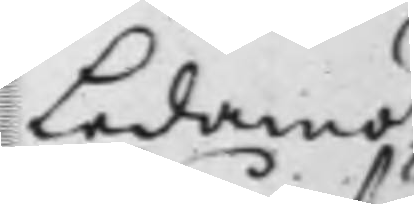Ledamö¬
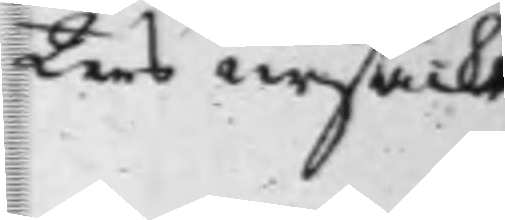ters ursäckt
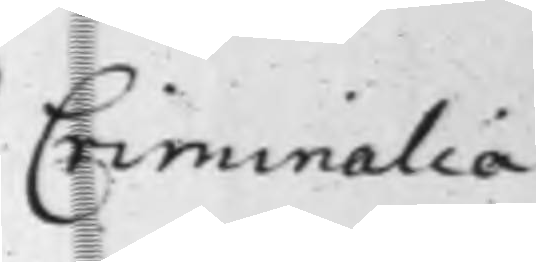Criminalia
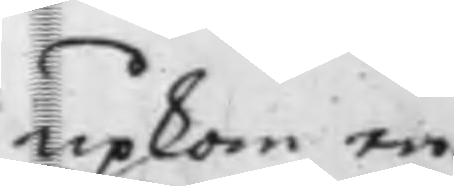upkom en
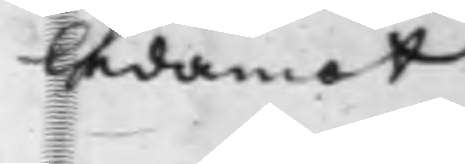ledamot
